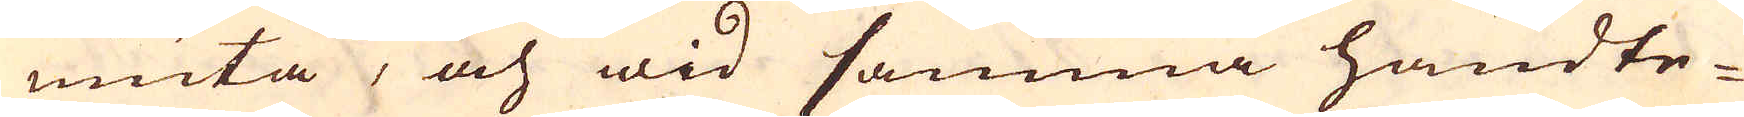niuta, och wid samma handte-
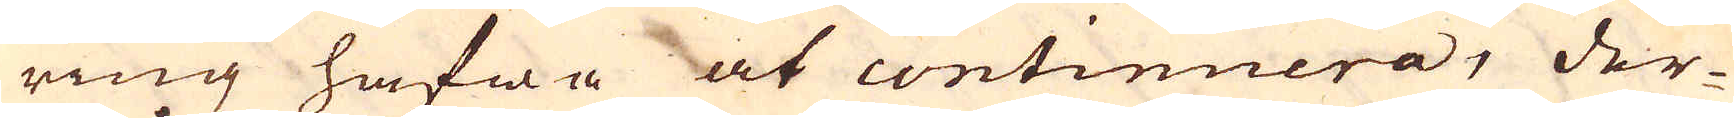ring hafwa at continuera, der-
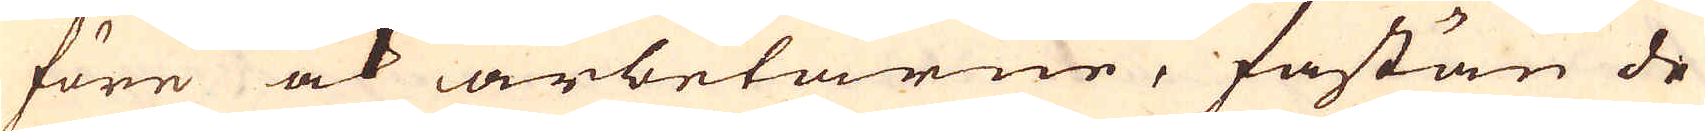före ock arbetarne, fastän de
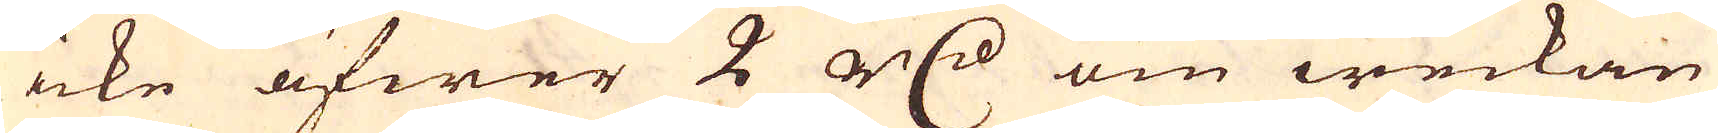icke öfwer 2 r:dr om weckan
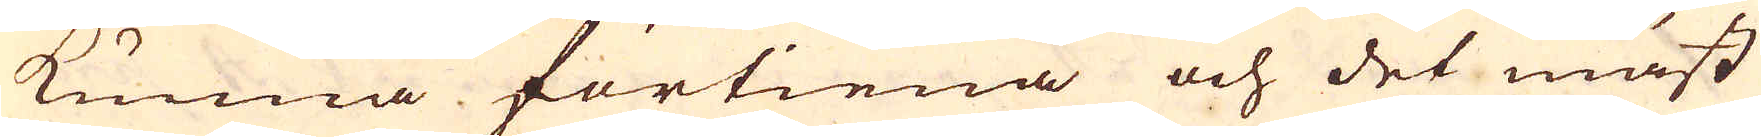kunna förtiena och det mäst
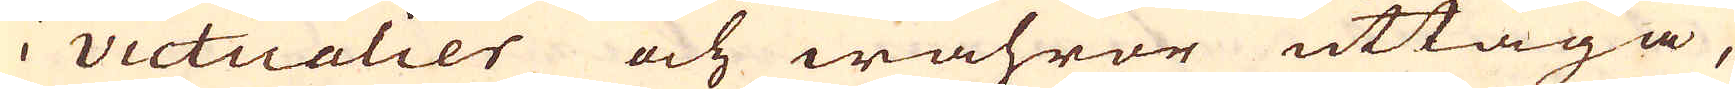i victualier och wahror uttaga,
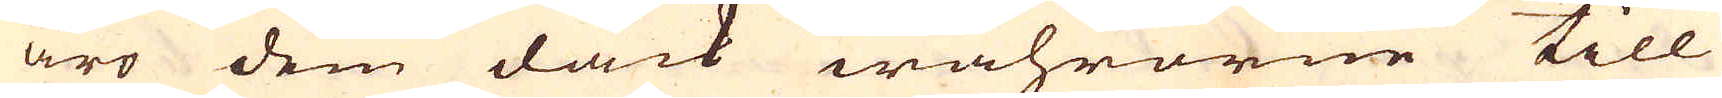äro dem dåck wahrorne till
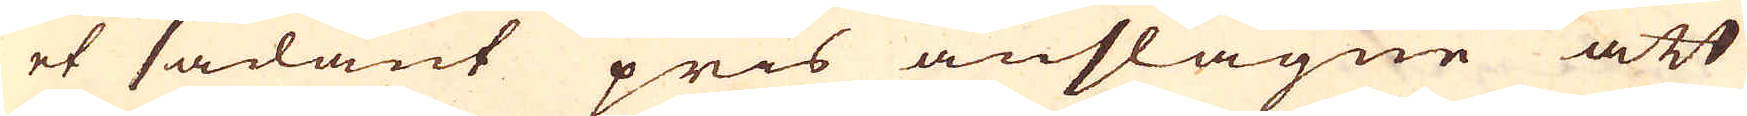et sådant pris anslagne att
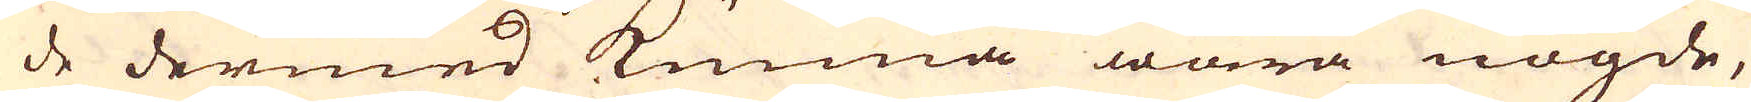de dermed kunna wara nögde,
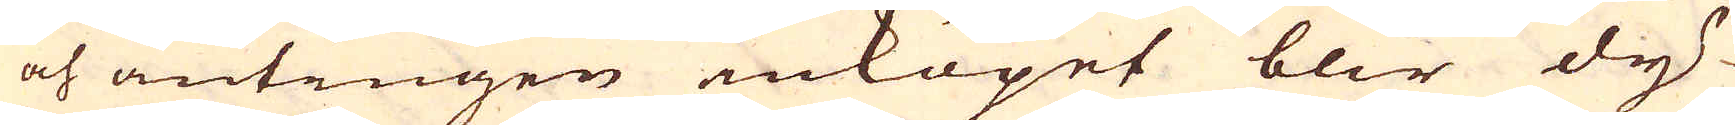och antingen inköpet blir dy-
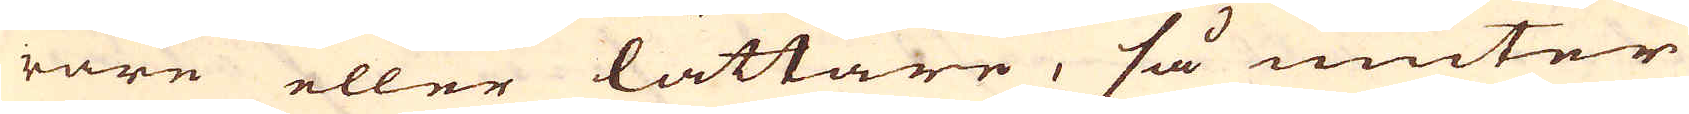rare eller lättare, så niuter
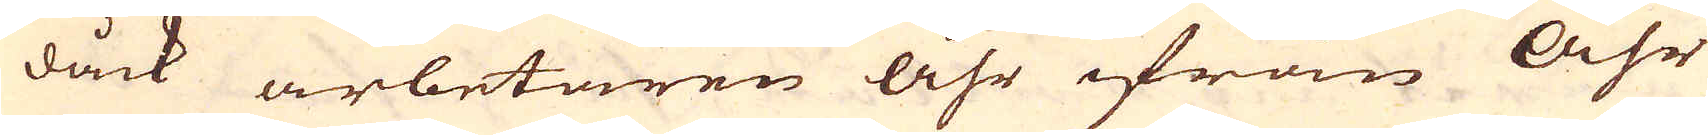dåck arbetaren Åhr ifrån Åhr
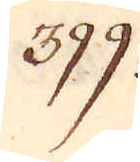399.
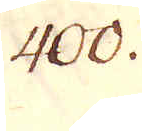400.
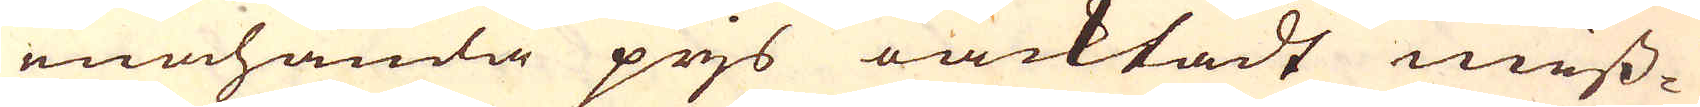enahanda prjs oäcktadt miss-
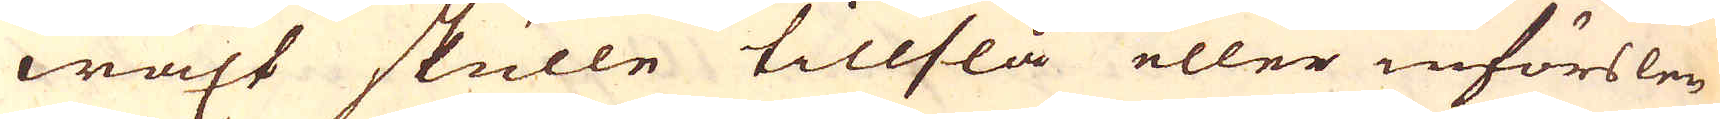wäxt skulle tillslå eller införslen
